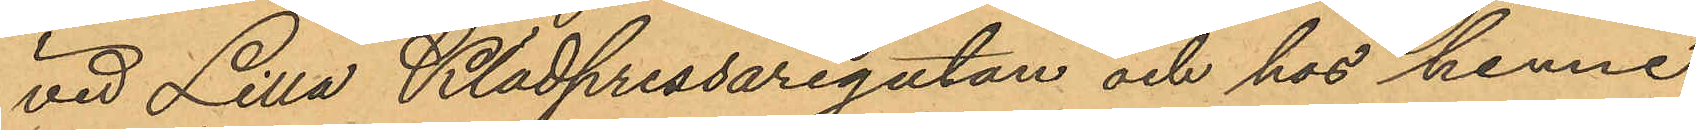vid Lilla Klädpressaregatan och hos henne
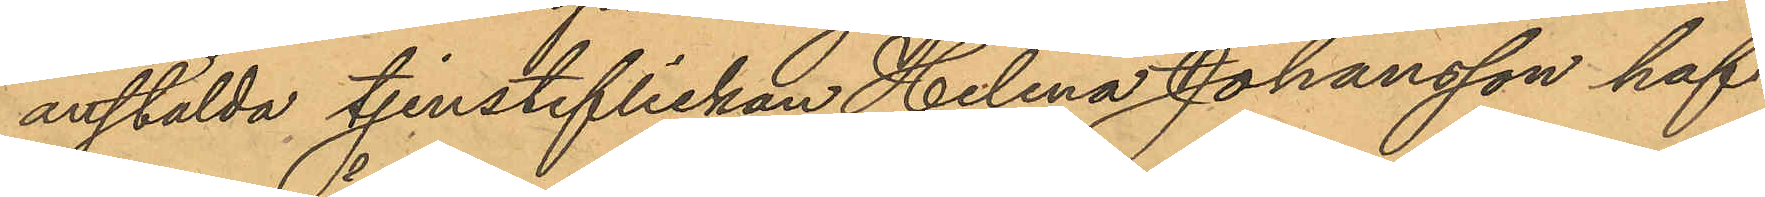anstälda tjensteflickan Helena Johansson haf¬
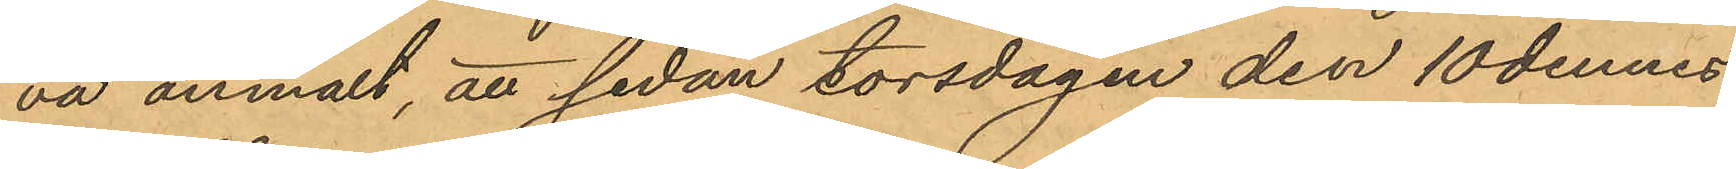va anmält, att sedan torsdagen den 10 dennes
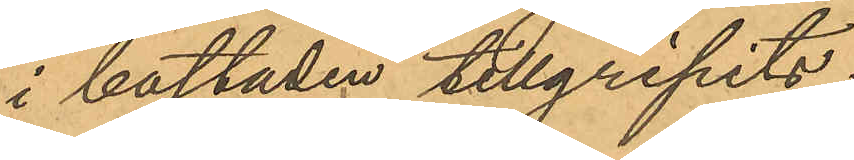i bostaden tillgripits:
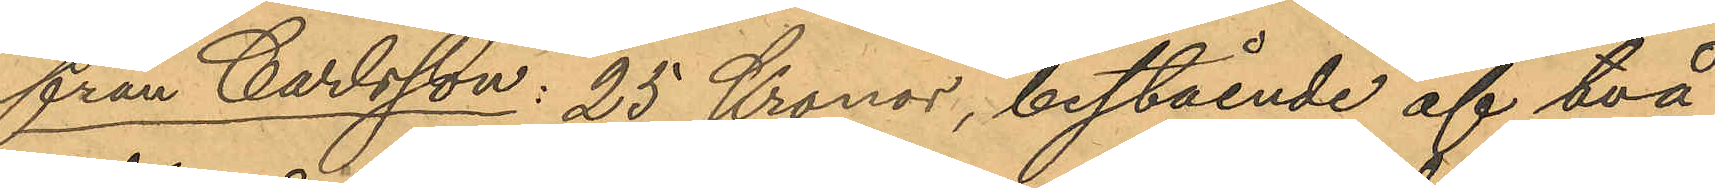från Carlsson: 25 Kronor, bestående af två
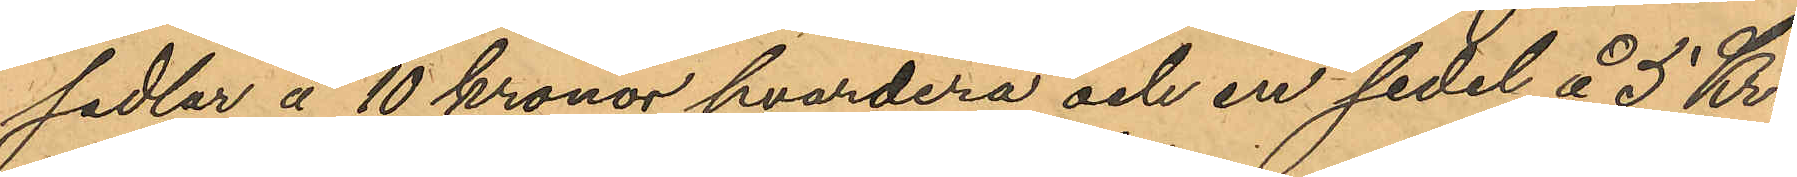sedlar å 10 kronor hvardera och en sedel å 5 Kr.,
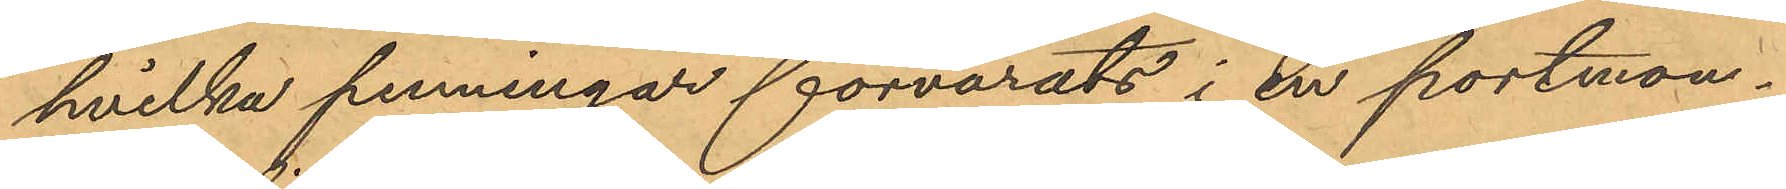hvilka penningar förvarats i en portmon¬
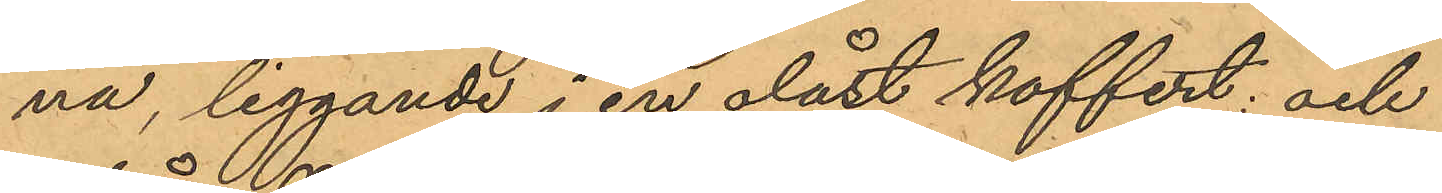nä, liggande i en olåst koffert; och
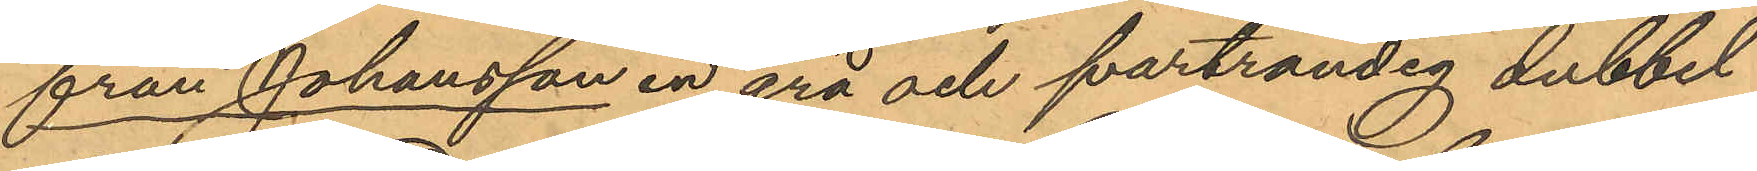från Johansson en grå och svartrandig dubbel
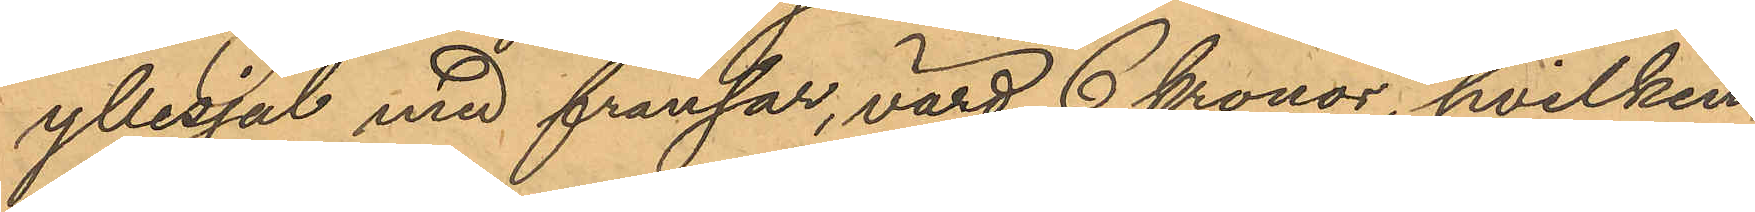yllesjal med fransar, värd 6 kronor, hvilken
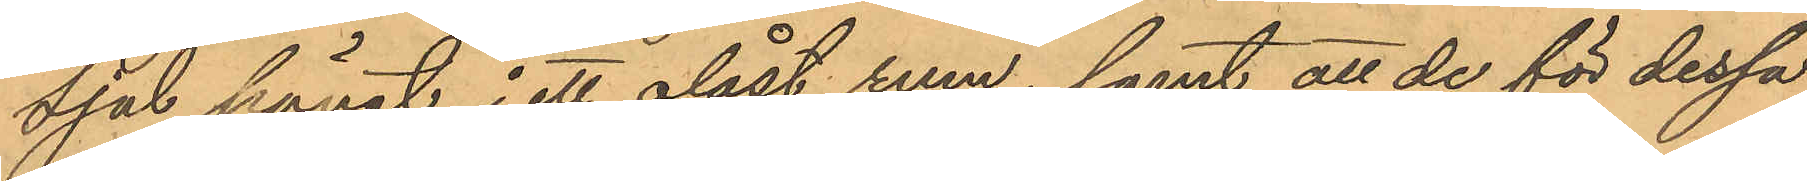sjal hängt i ett olåst rum; samt att de för dessa
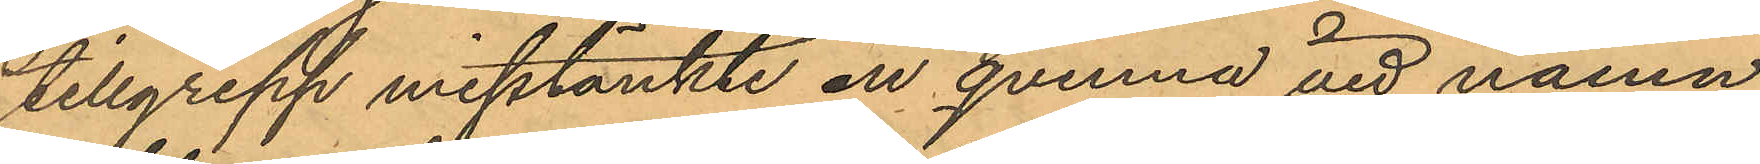tillgrepp misstänkte en qvinna vid namn
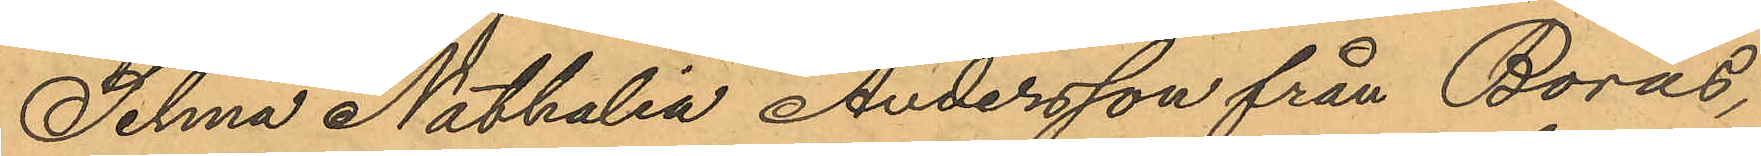Selma Nathalia Andersson från Borås,
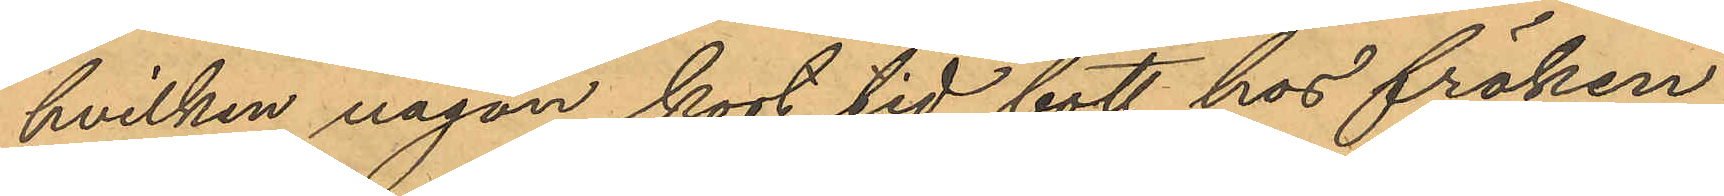hvilken någon kort tid bott hos fröken
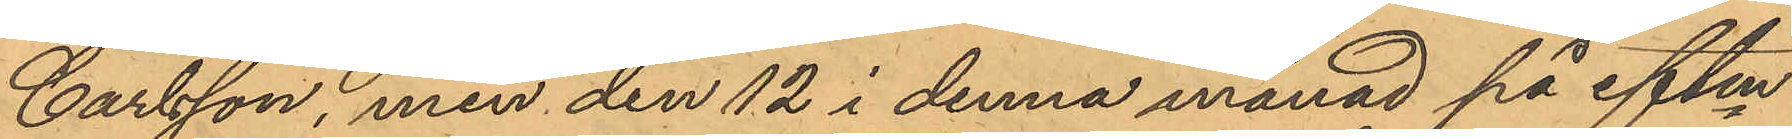Carlsson, men den 12 i denna månad på eftm
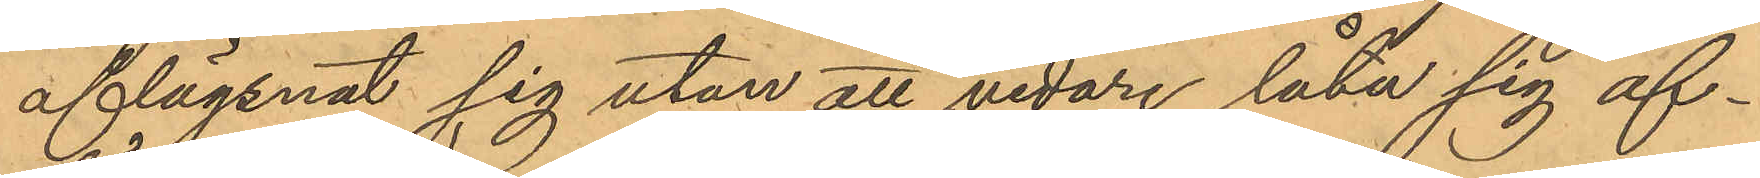aflägsnat sig utan att vidare låta sig af¬
